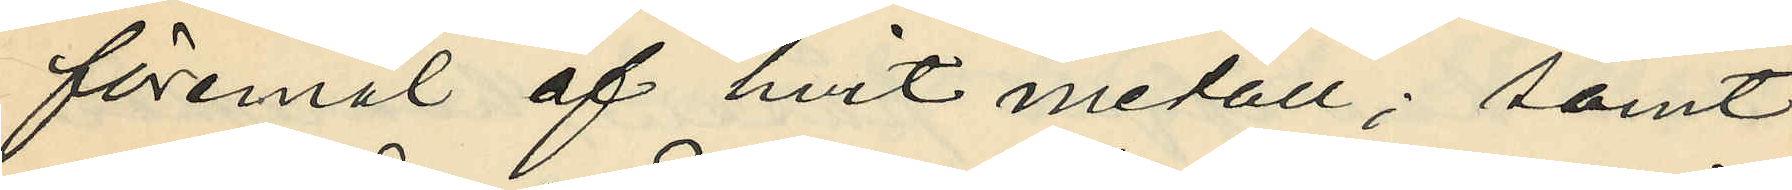föremål af hvit metall; samt
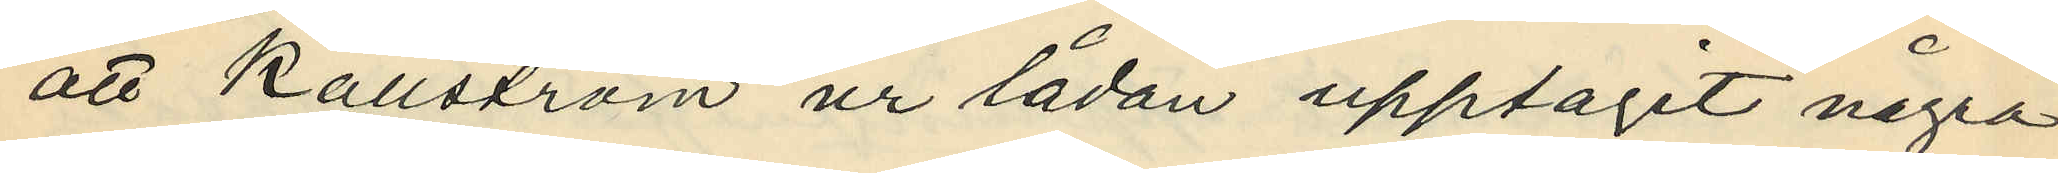att Källström ur lådan upptagit några
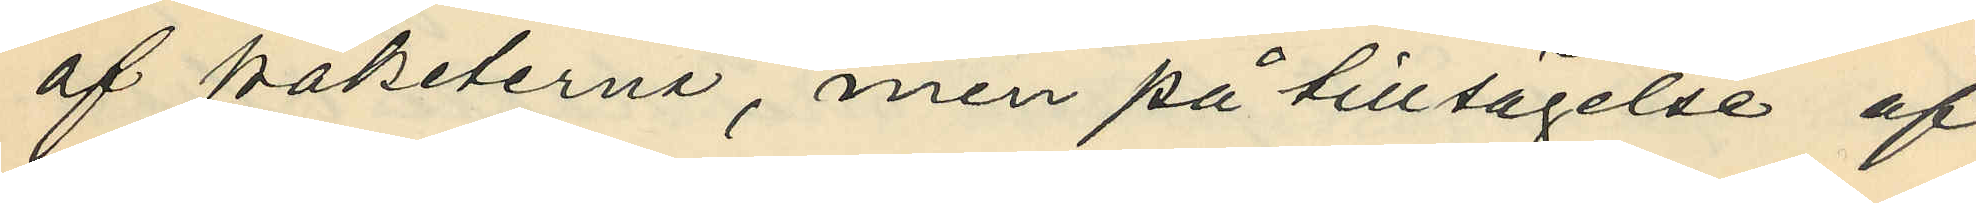af paketerna, men på tillsägelse af
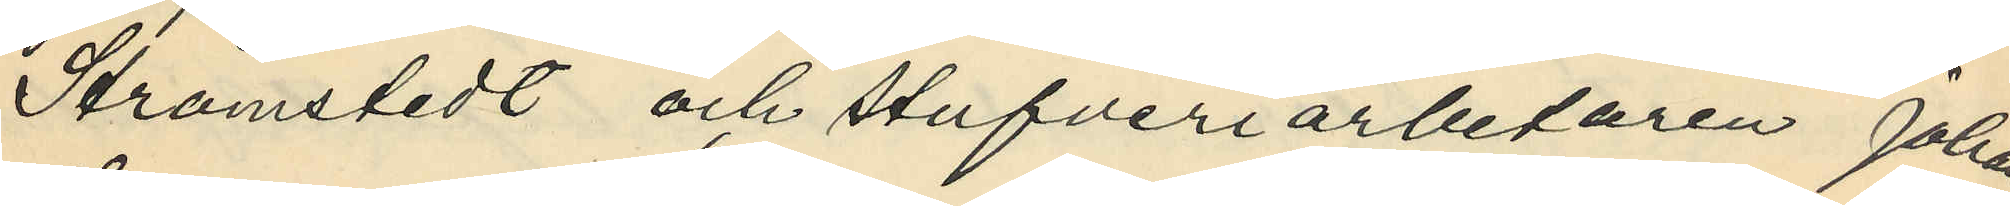Strömstedt och stufveriarbetaren Johan
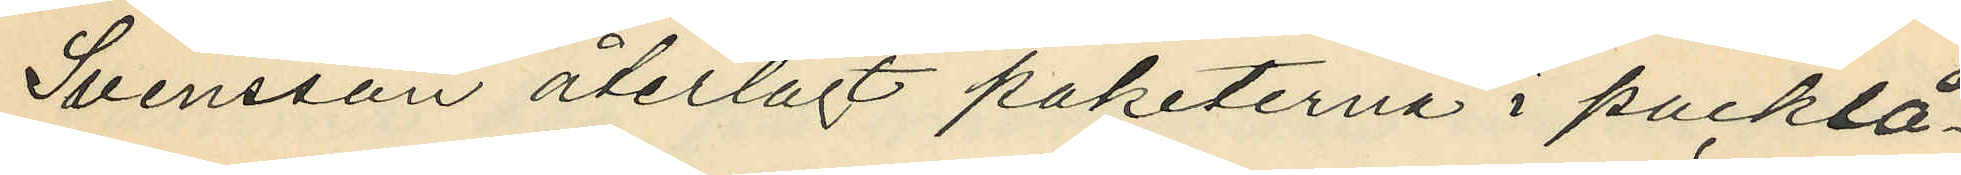Svensson återlagt paketerna i packlå¬
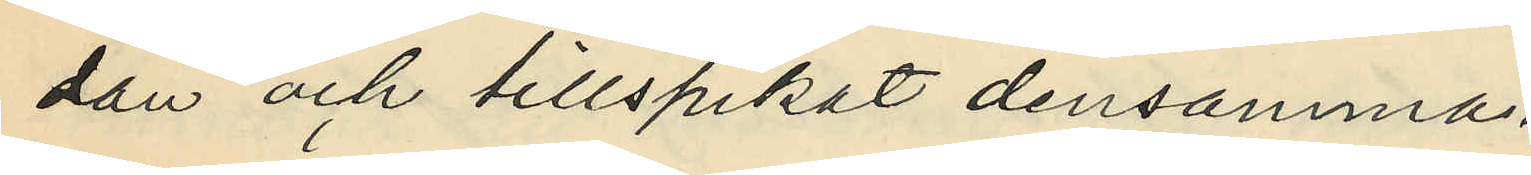dan och tillspikat densamma.
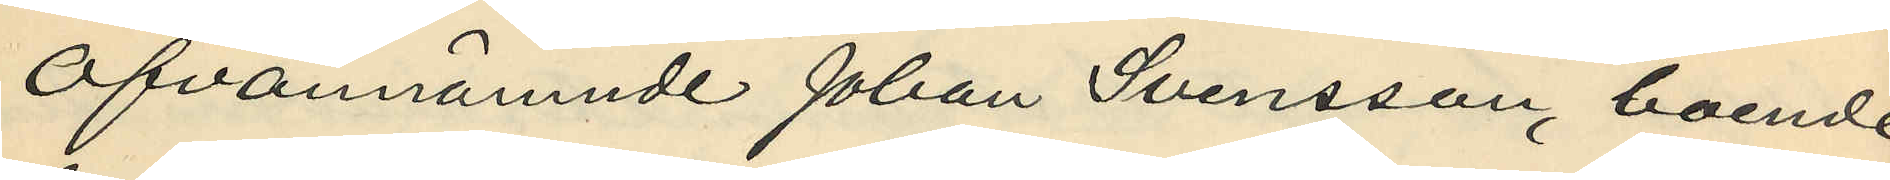Ofvannämnde Johan Svensson, boende
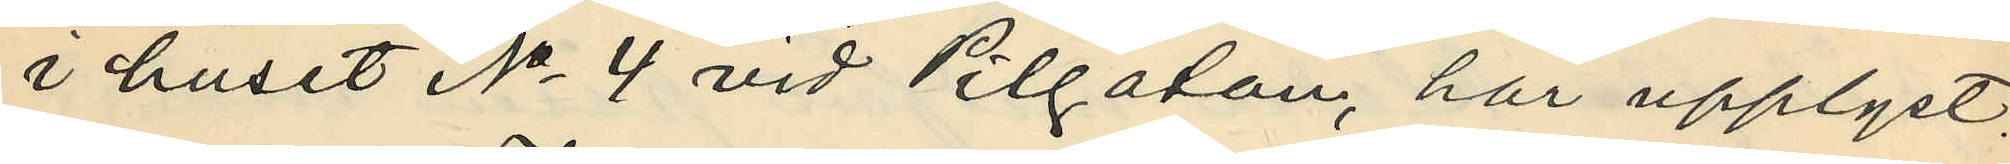i huset No 4 vid Pilgatan, har upplyst:
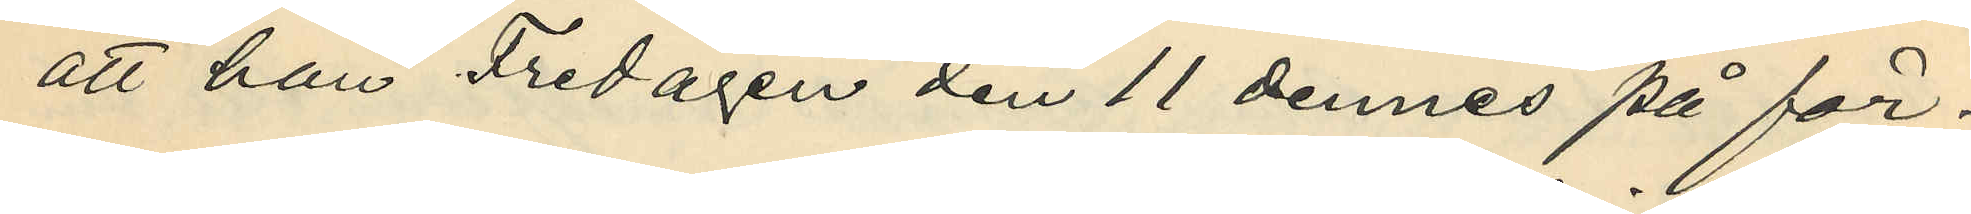att han Fredagen den 11 dennes på för¬
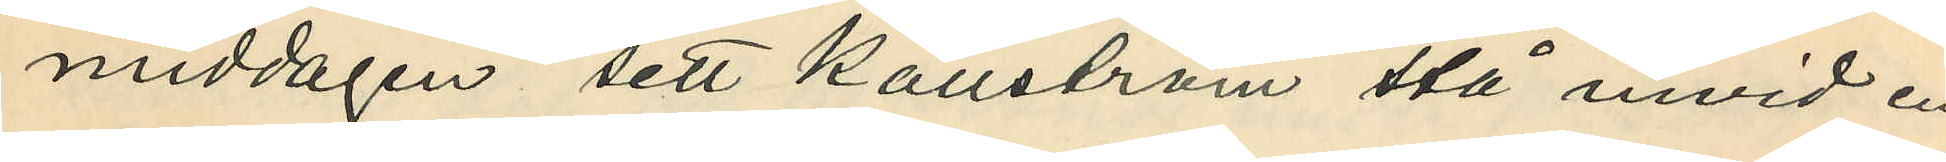middagen sett Källström stå invid en
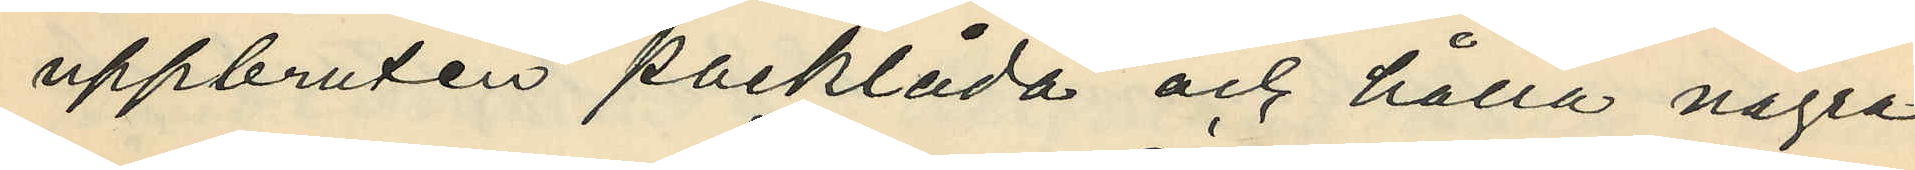uppbruten packlåda och hålla några
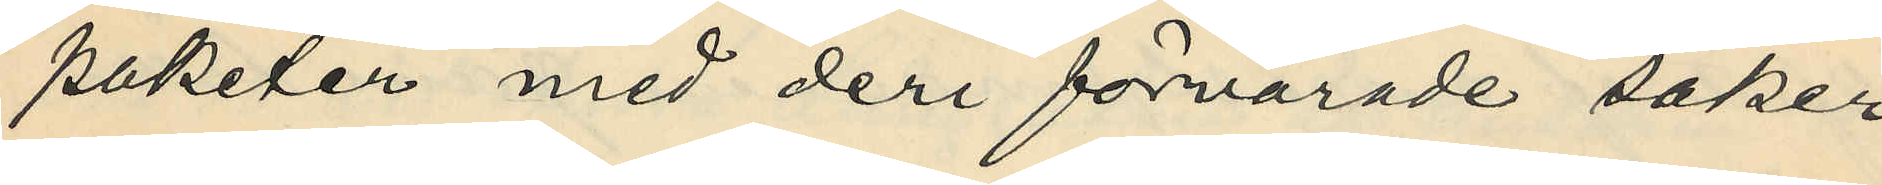paketer med deri förvarade saker
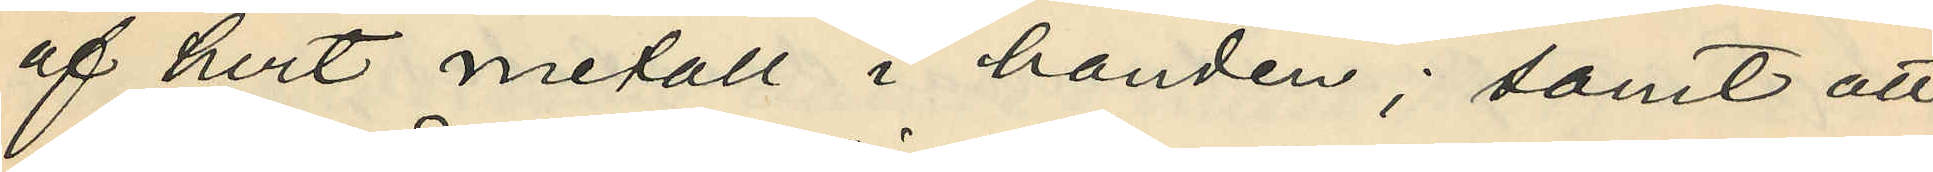af hvit metall i handen; samt att
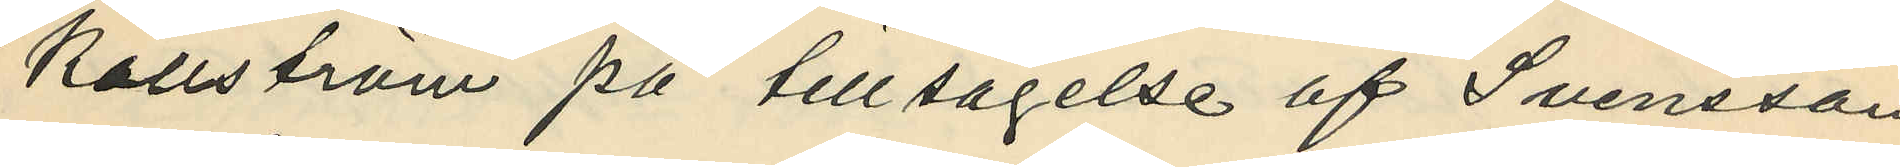Källström på tillsägelse af Svensson
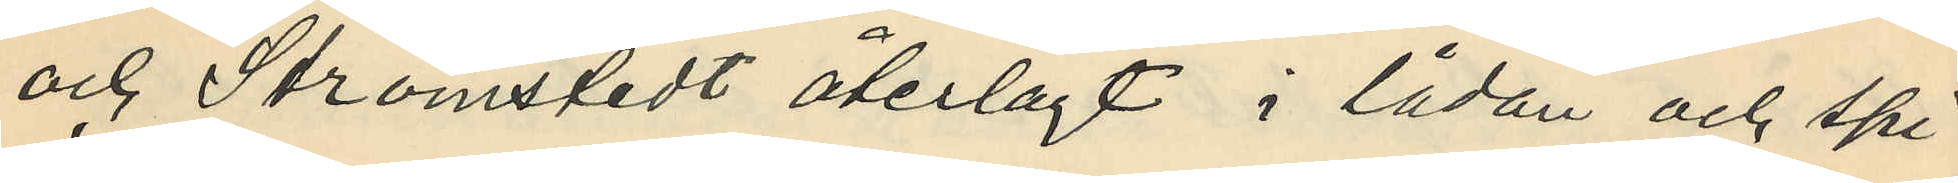och Strömstedt återlagt i lådan och spi¬
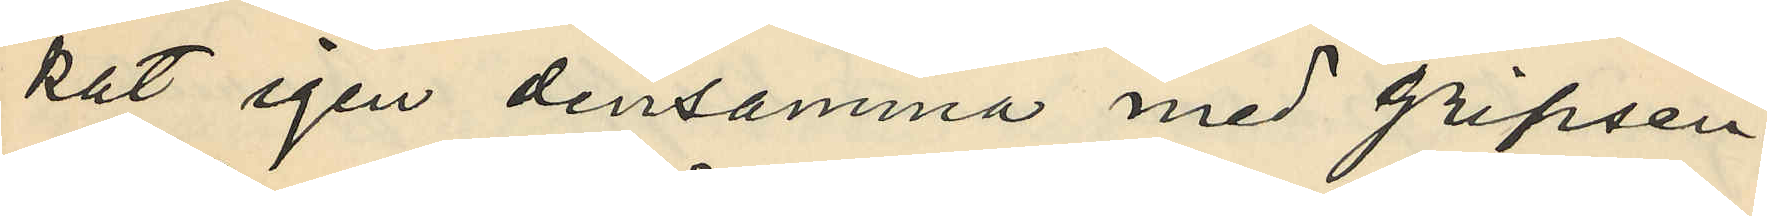kat igen densamma med gripsen.
